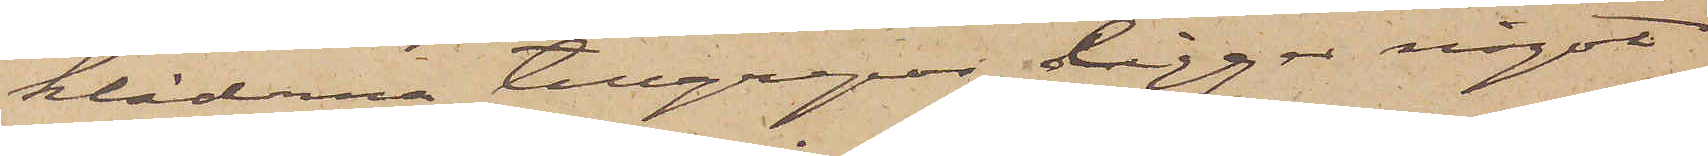kläderna tillgrepos, ligger något
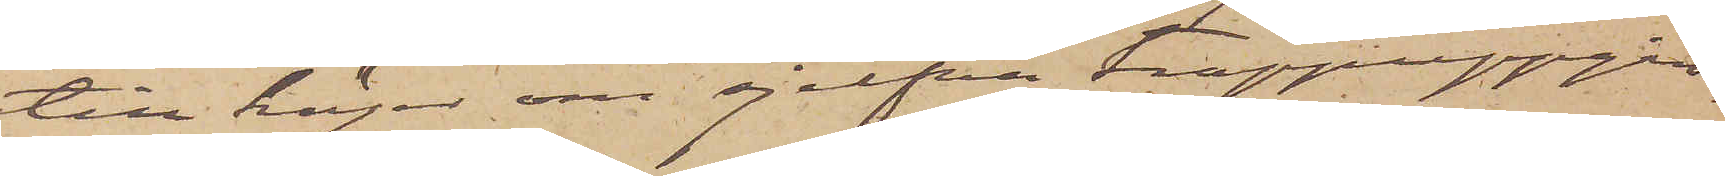till höger om sjelfva trappuppgån¬
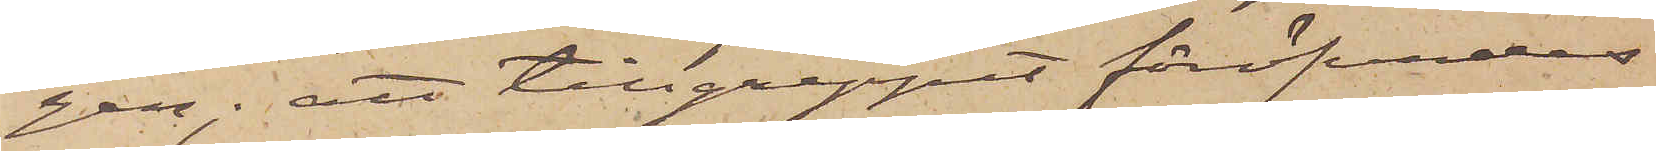gen; att tillgreppet föröfvades
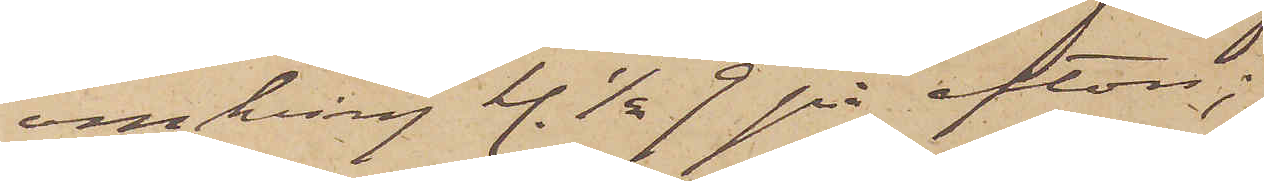omkring kl. 1/2 9 på afton;
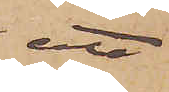att
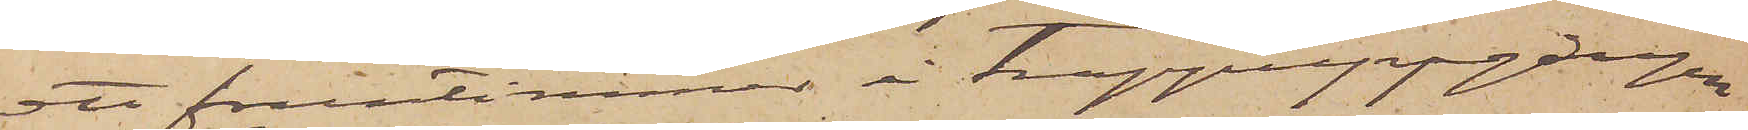ett fruntimmer i trappuppgången
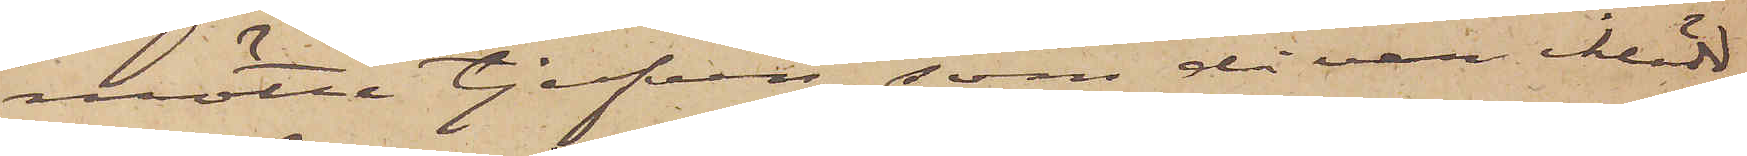mötte tjufven, som då var iklädd
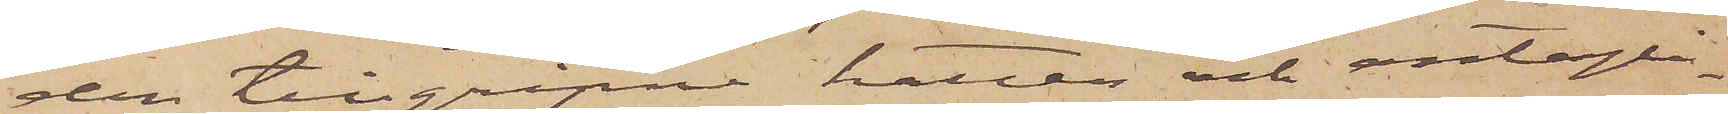den tillgripne hatten och antagli¬
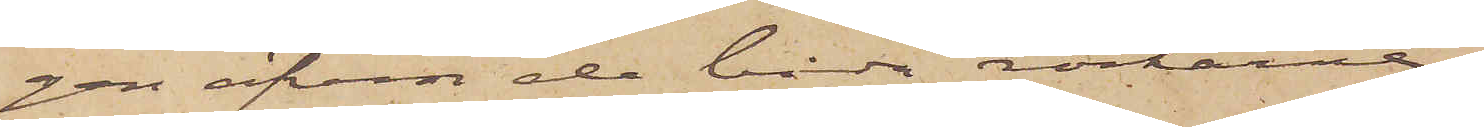gen äfven de båda rockarna,
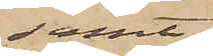samt
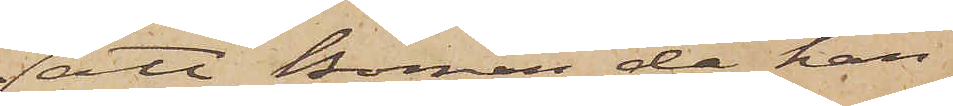att Boman, då han
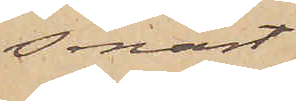senast
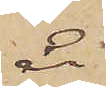år
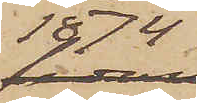1874
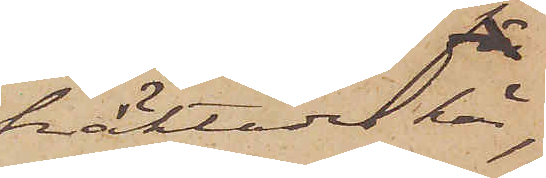häktades här,
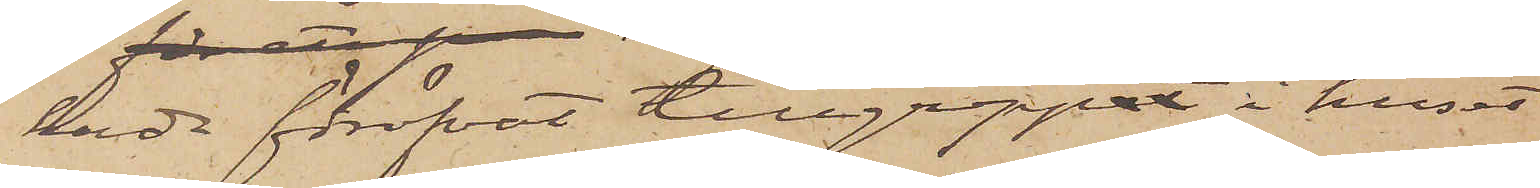hade föröfvat tillgreppet i huset
